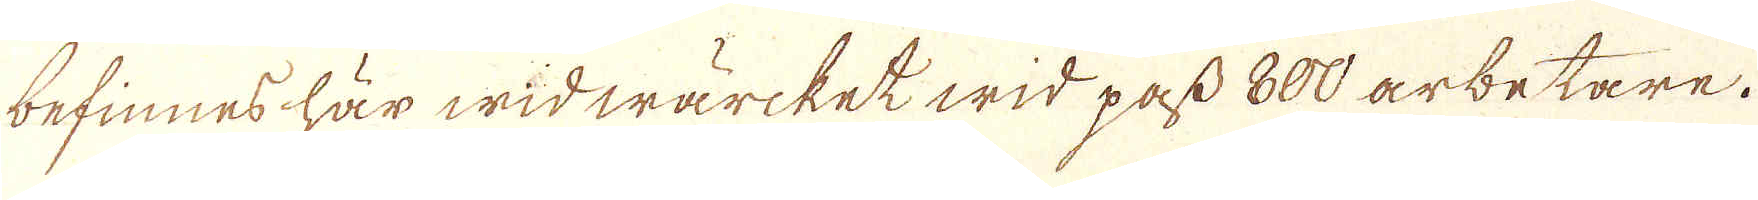befinnes här wid wärket wid pass 800 arbetare.
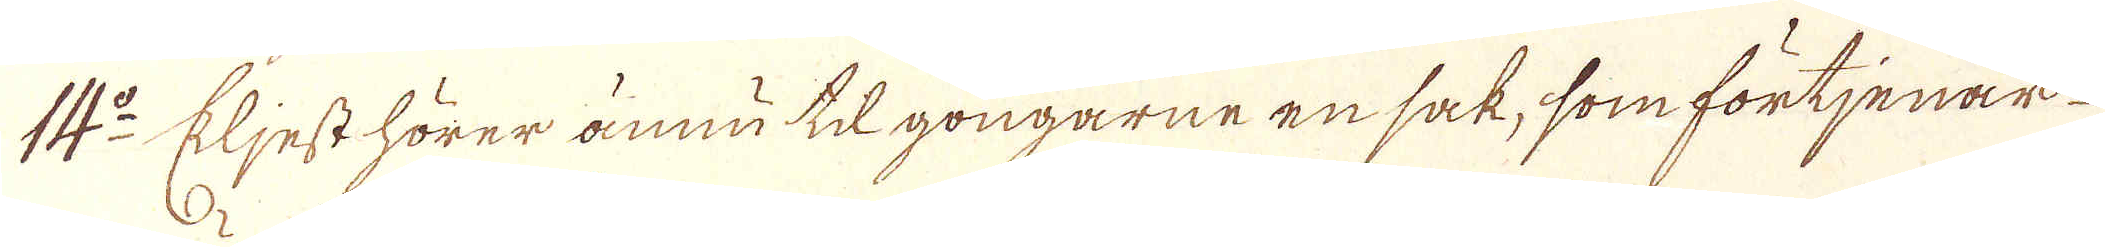14:o Eljest hörer ännu till gongarne en sak, som förtjenar
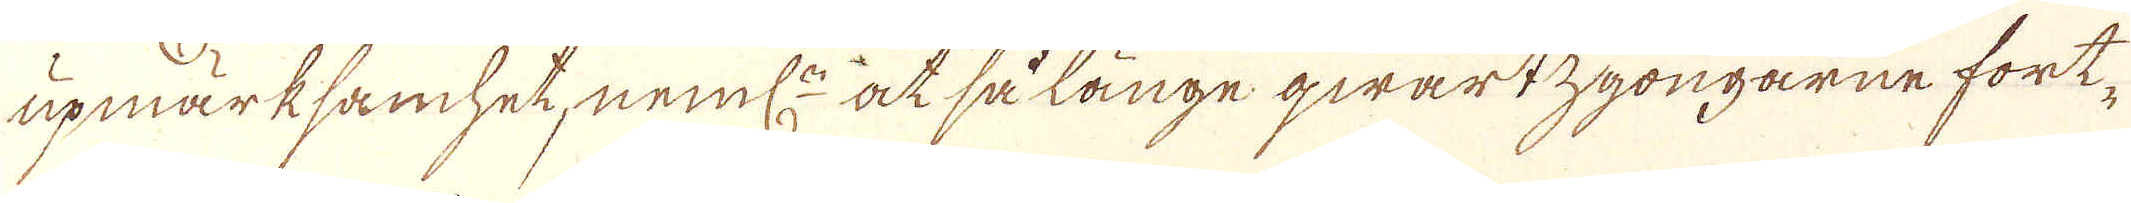upmärksamhet, neml:n at så länge qwartzgongarne fort-
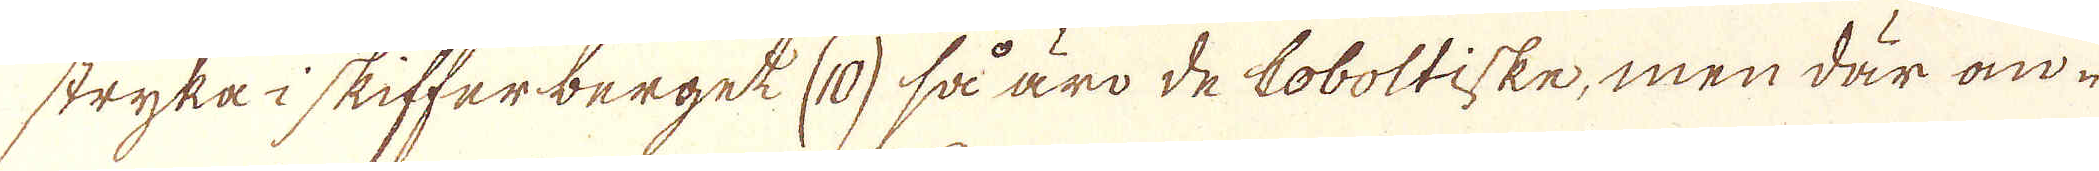stryka i skifferberget (10) så äro de Coboltiske, men där an-
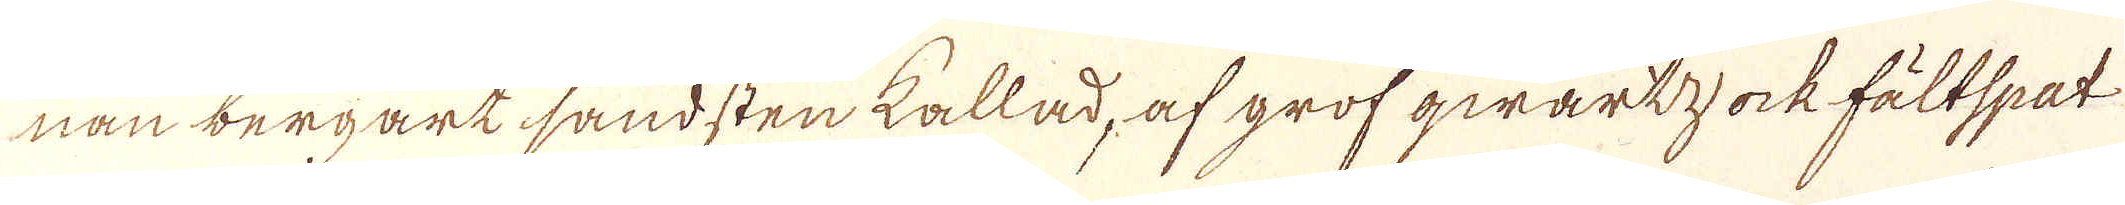nan bergart sandsten kallad, af grof qwartz ock fältspat
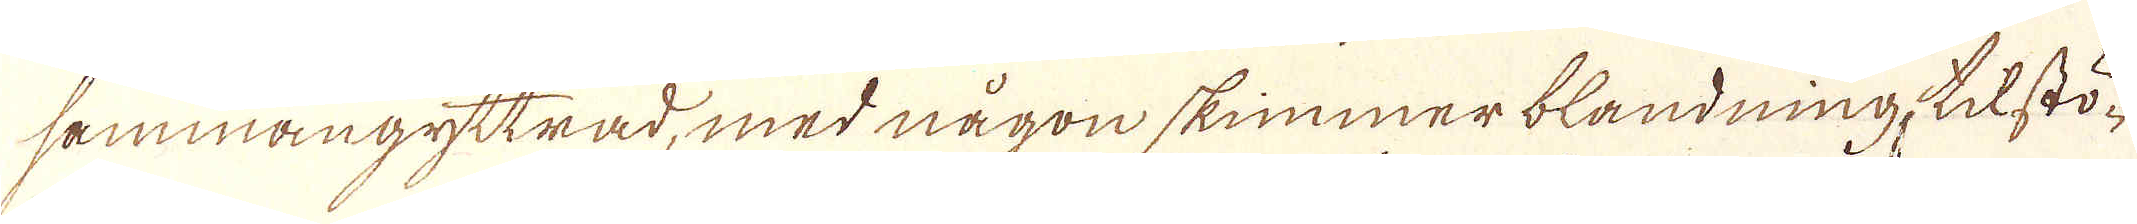sammangyttrad, med någon skimmer blandning, tilstö-
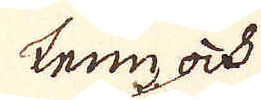tenn ock
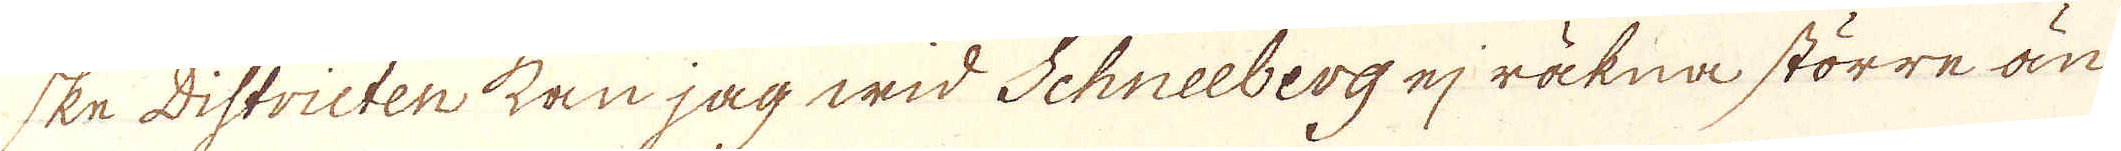ske Districten kan jag wid Schneeberg ej räkna större än
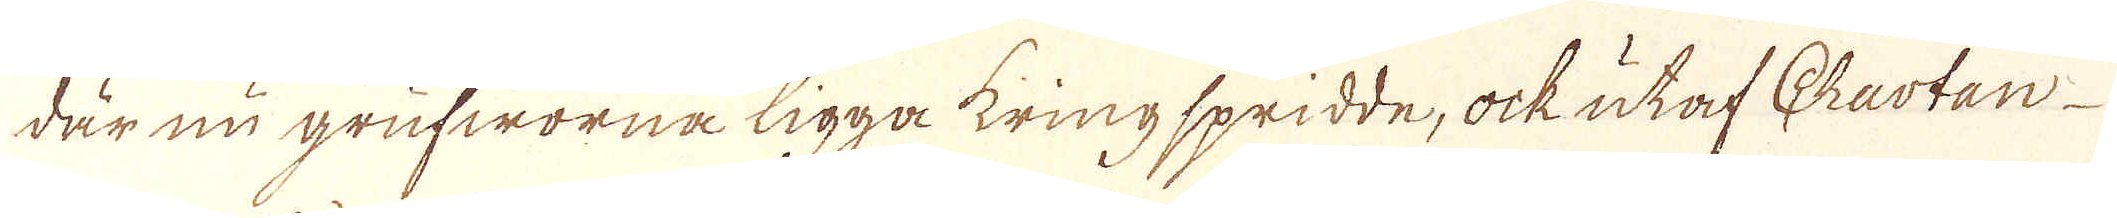där nu grufworna ligga kring spridde, ock utaf Chartan
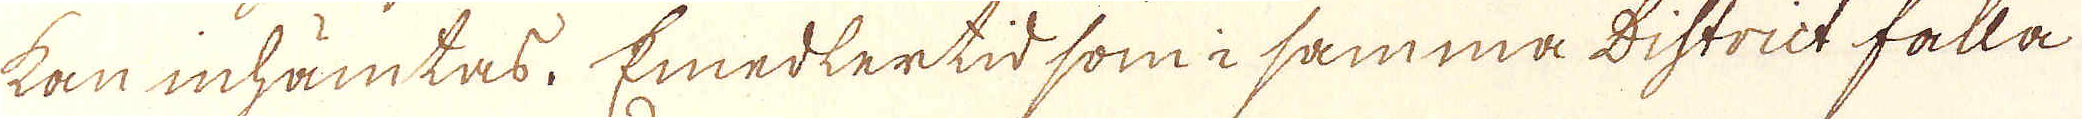kan inhämtas. Emedlertid som i samma district falla
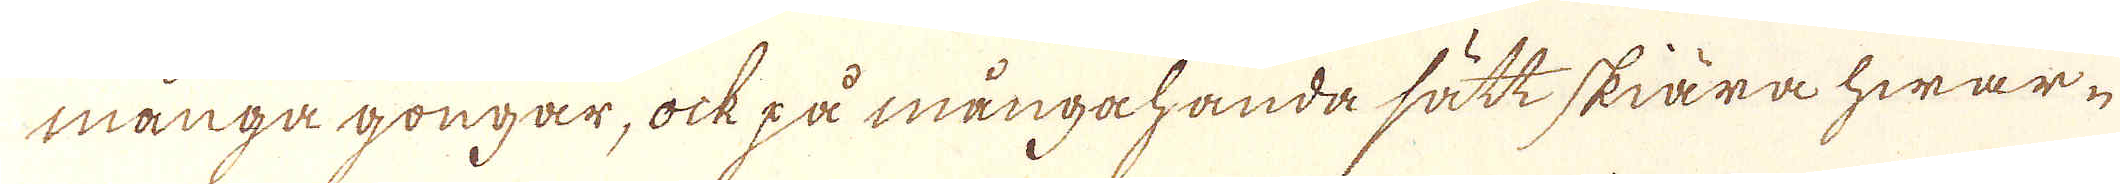många gongar, ock på mångahanda sätt skiära hwar-
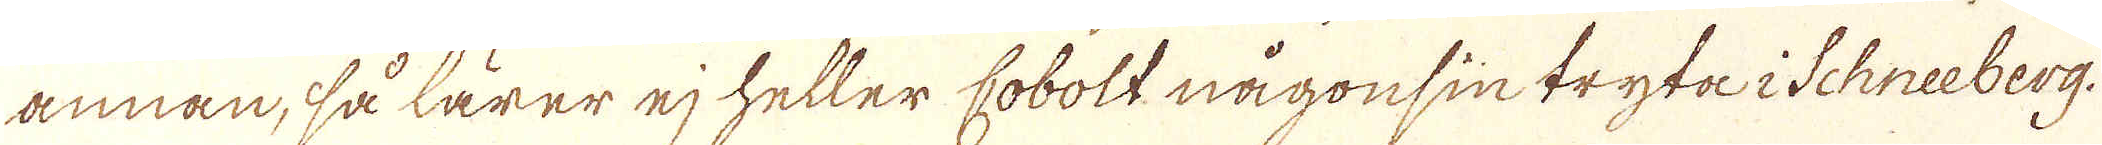annan, så lärer ej heller Cobolt någonsin tryta i Schneeberg.
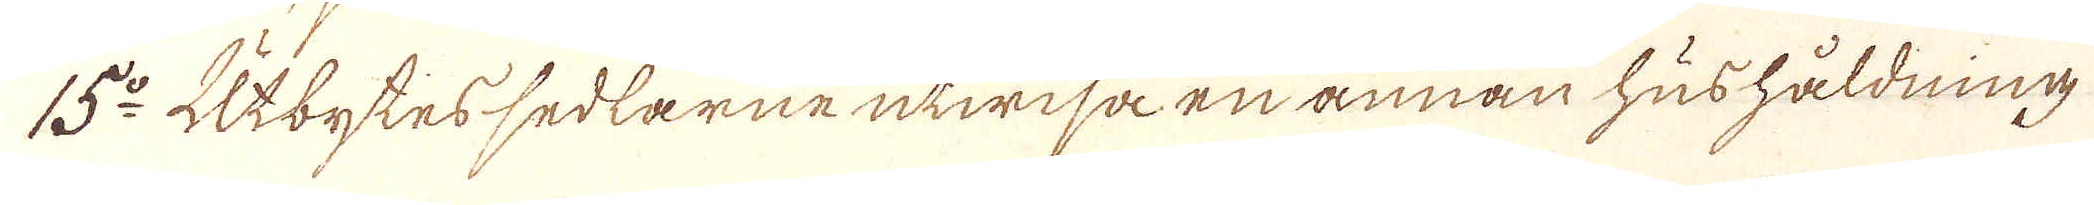15:o Utbytessedlarne utwisa en annan hushåldning
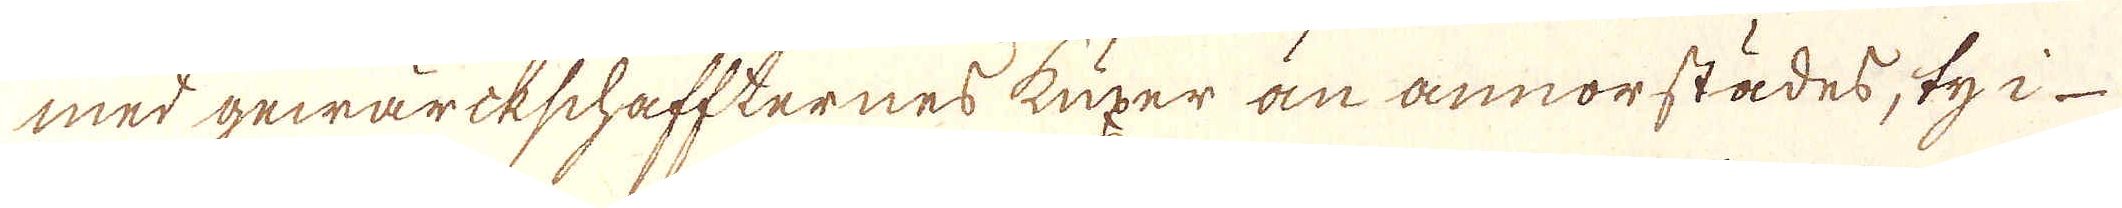med gewärkschaffternes kuxer än annorstädes; ty i
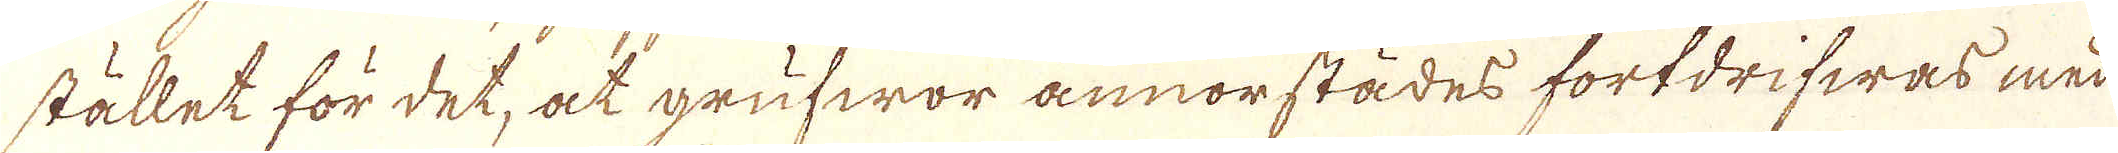stället för det, at grufwor annorstädes fortdrifwas med
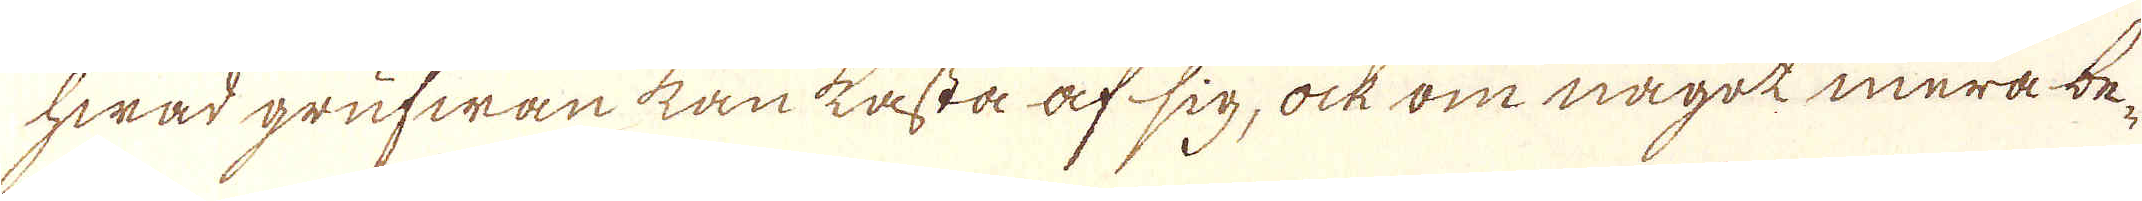hwad grufwan kan kasta af sig, ock om något mera be-
